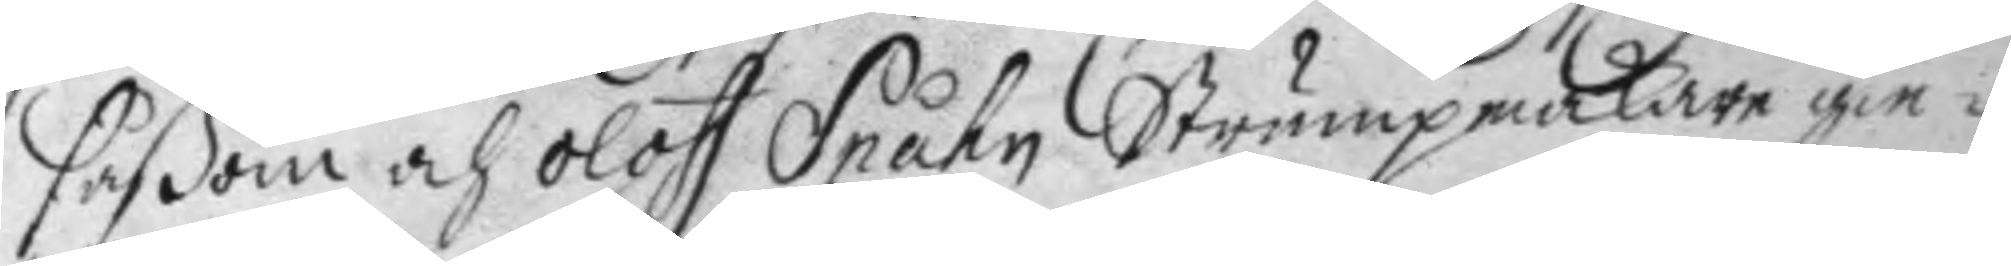såßom och oloff Spåhn Strumpmakare gie¬
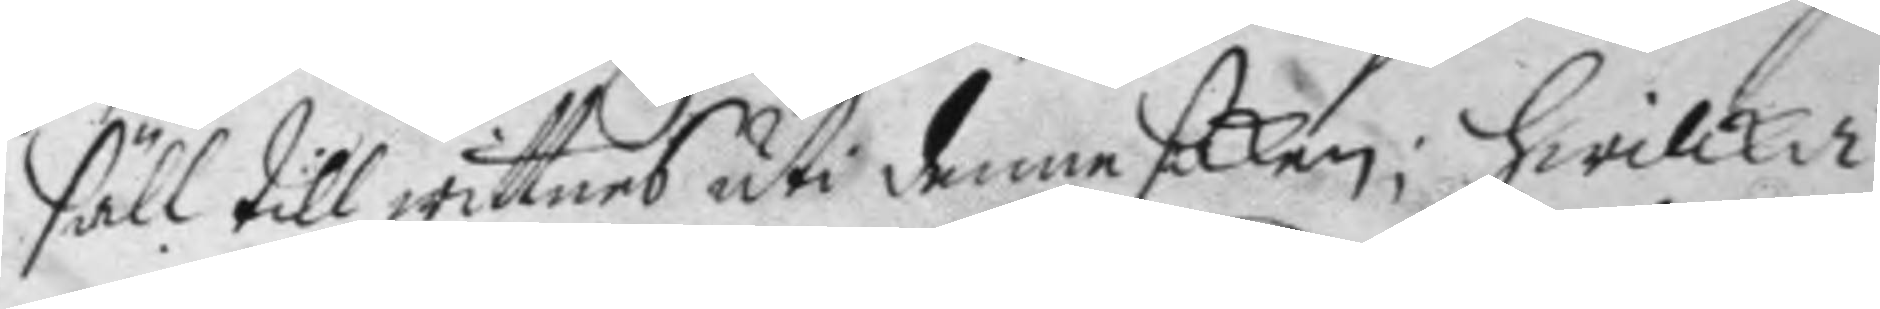säll till wittnes uti denne saken; hwilka
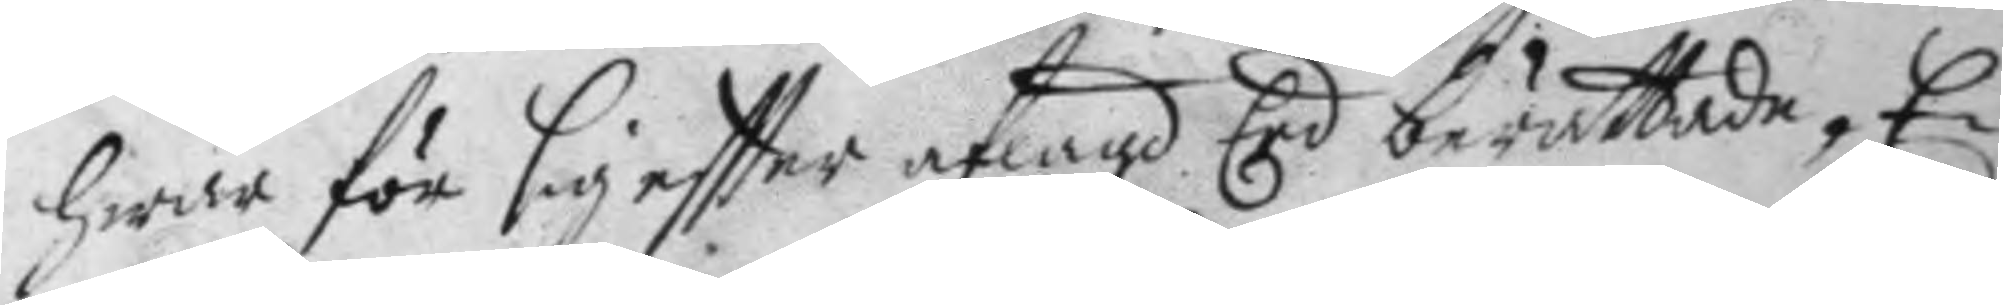hwar för sig eftter aflagd Eed berättade, E¬
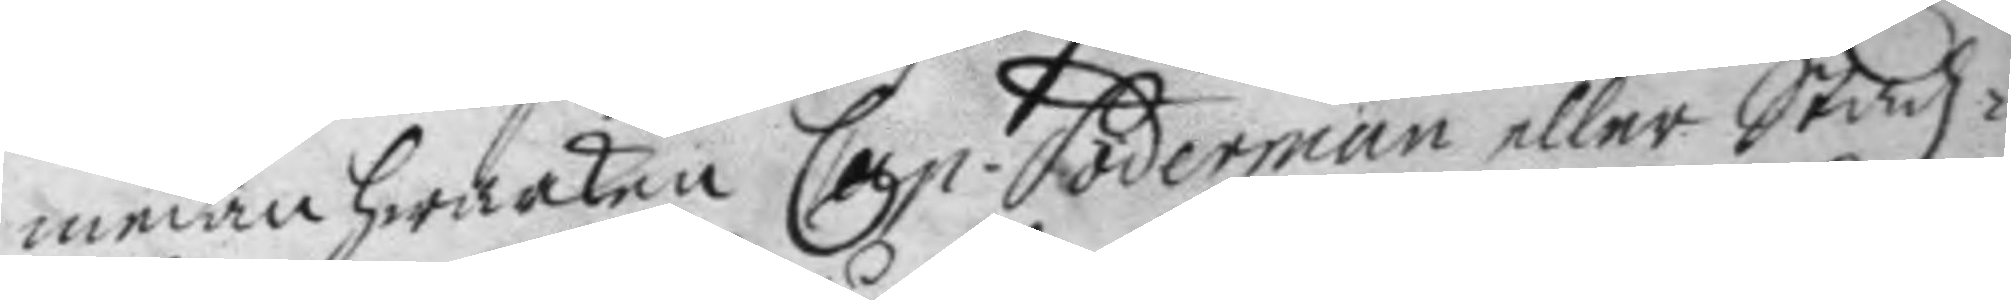medan hwarken Cap. Söderman eller Stadz¬
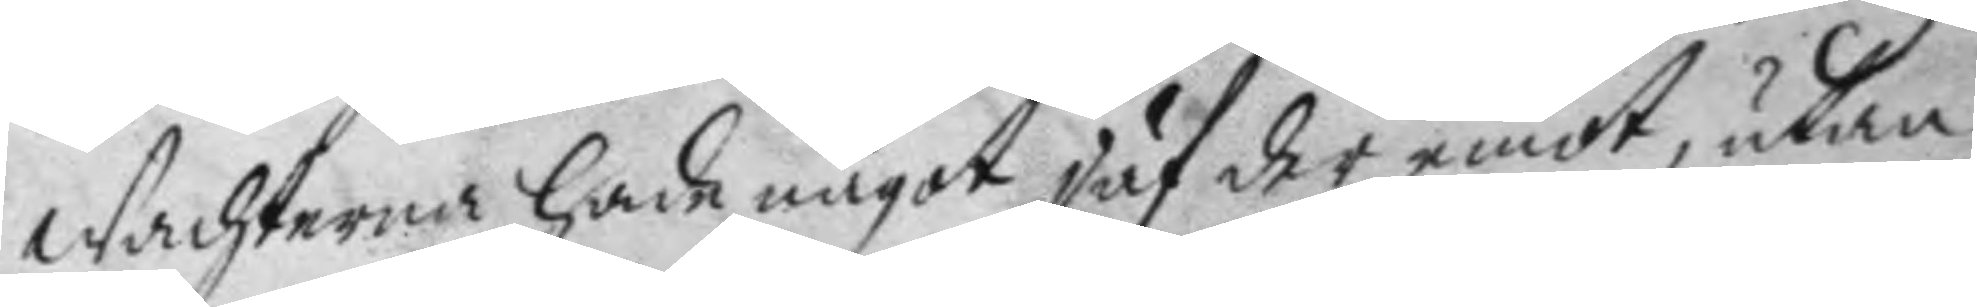Wachterna hade något jäf der emot, utan
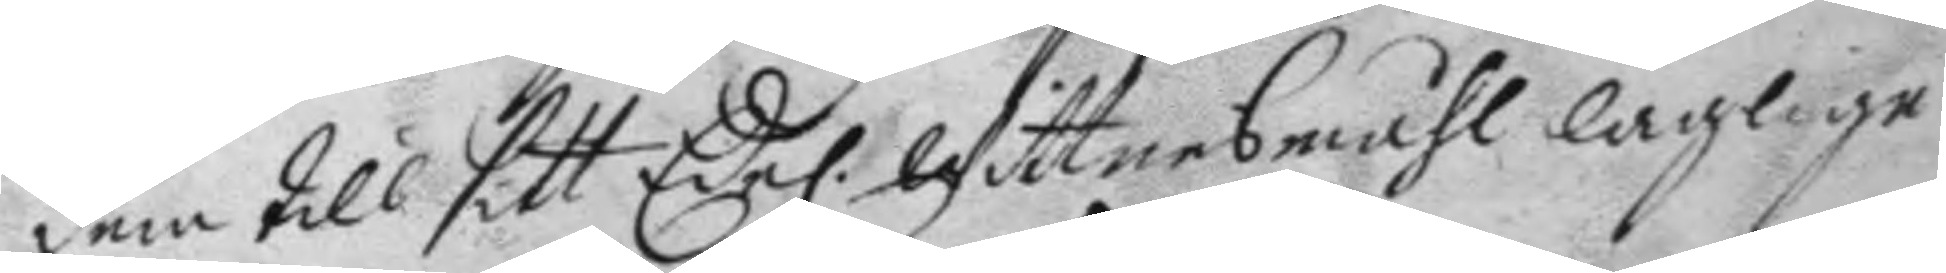dem till sitt Edel. Wittnesmåhl lagligen
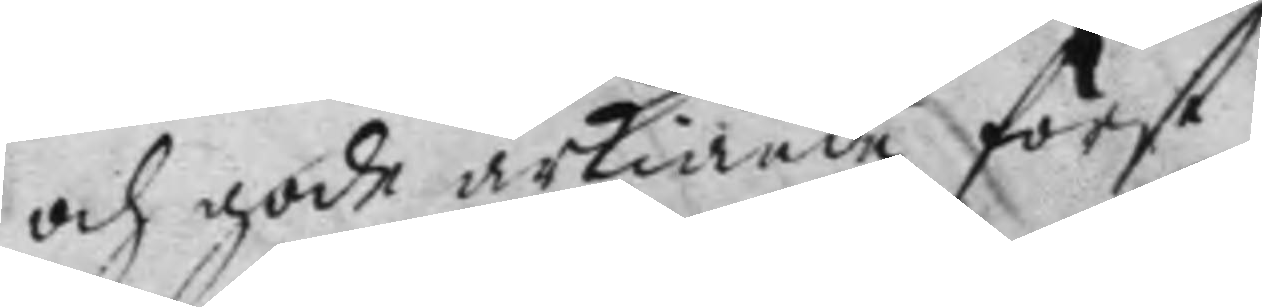och gode ärkiände först
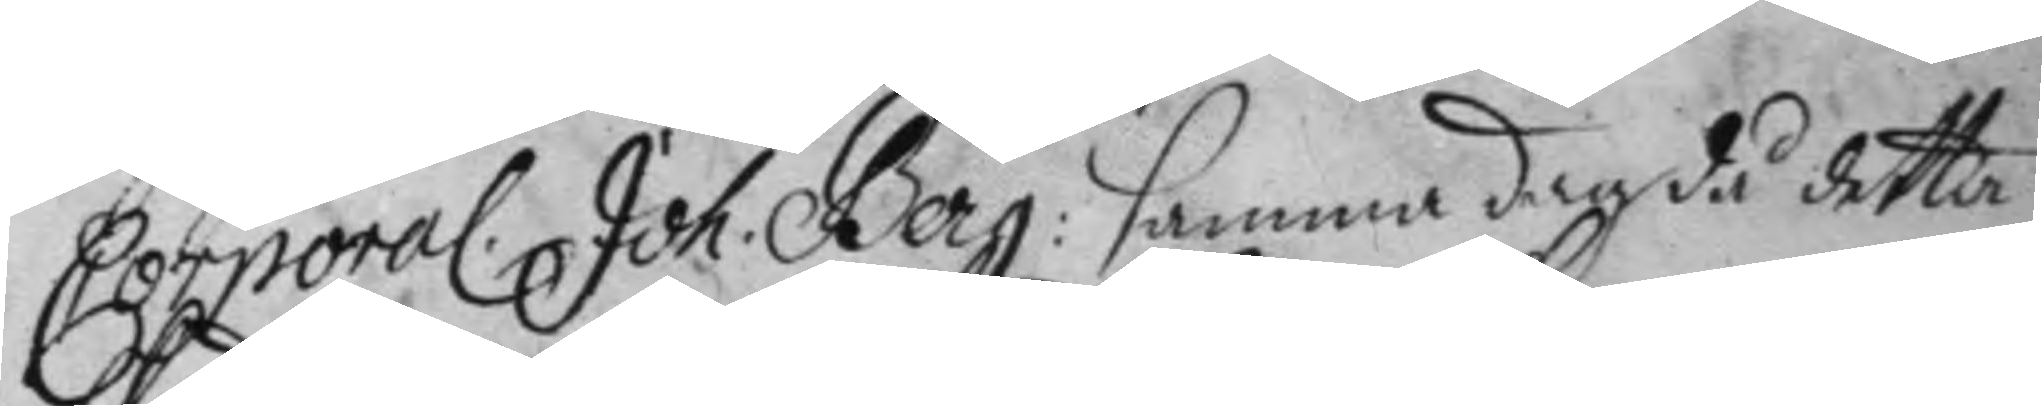Corporal. Joh. Berg: samma dag då detta
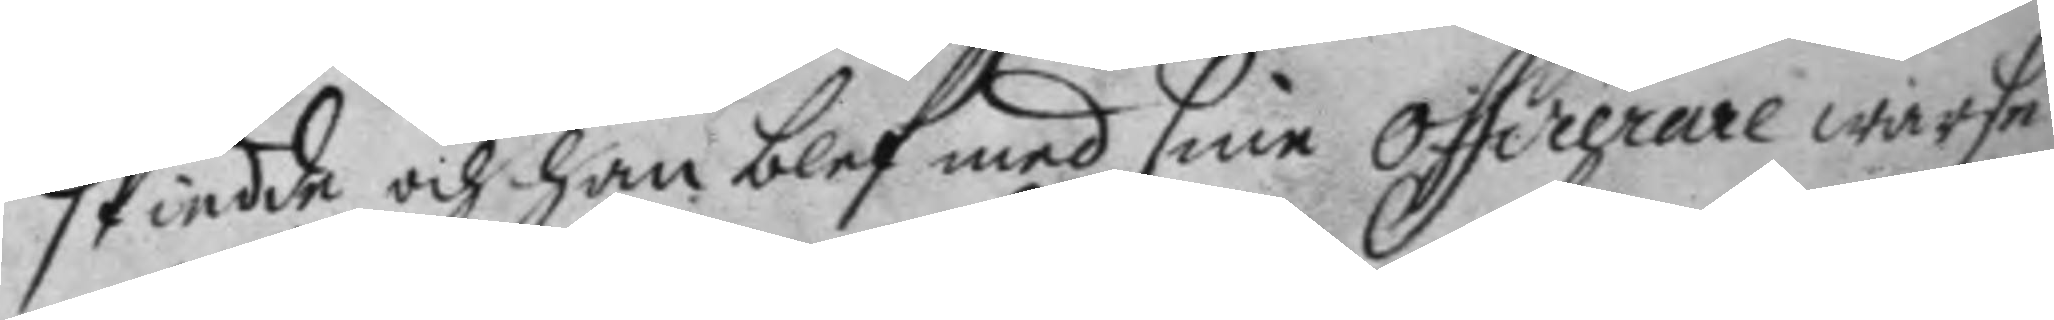skiedde och han blef med sine officerare warse
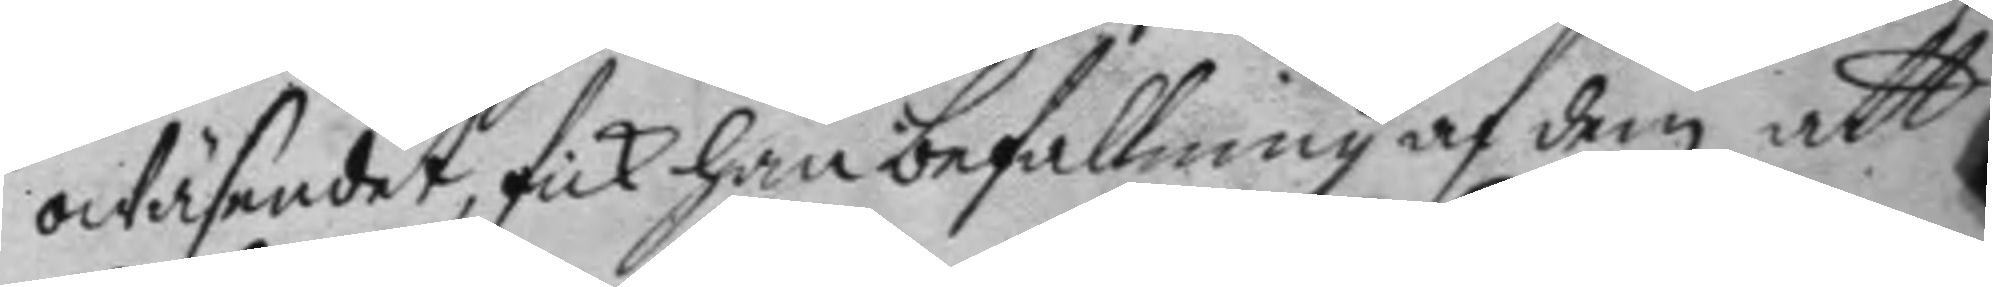owäsendet, fick han befallning af dem att
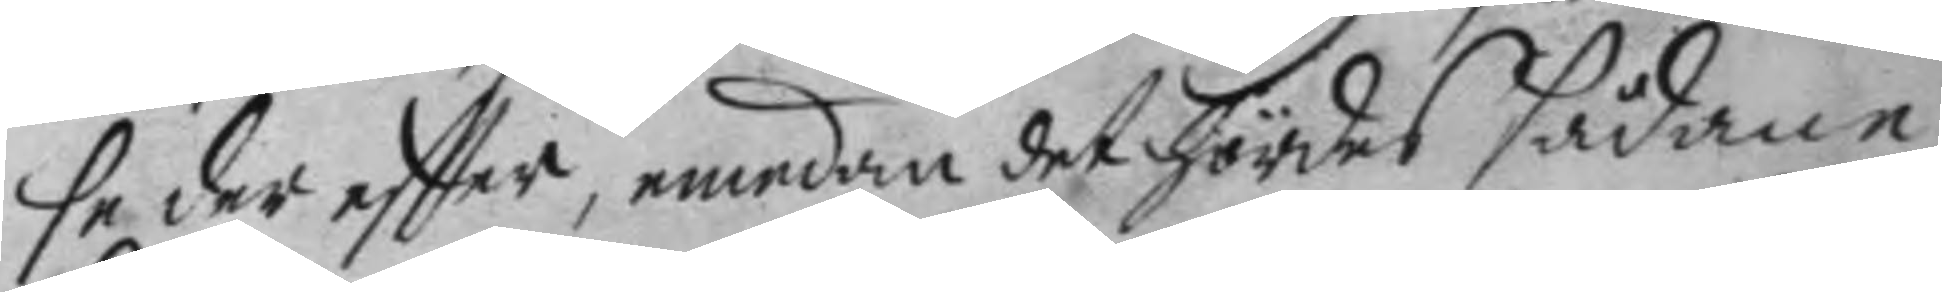se der eftter, emedan det hördes sådane
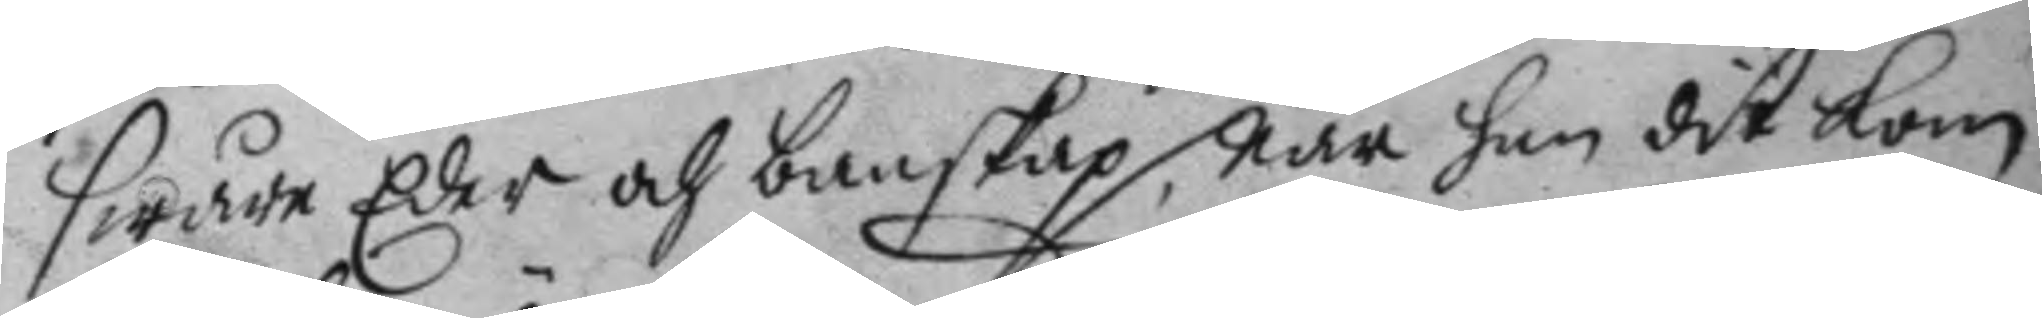swåre Eder och banskap, när han dit kom
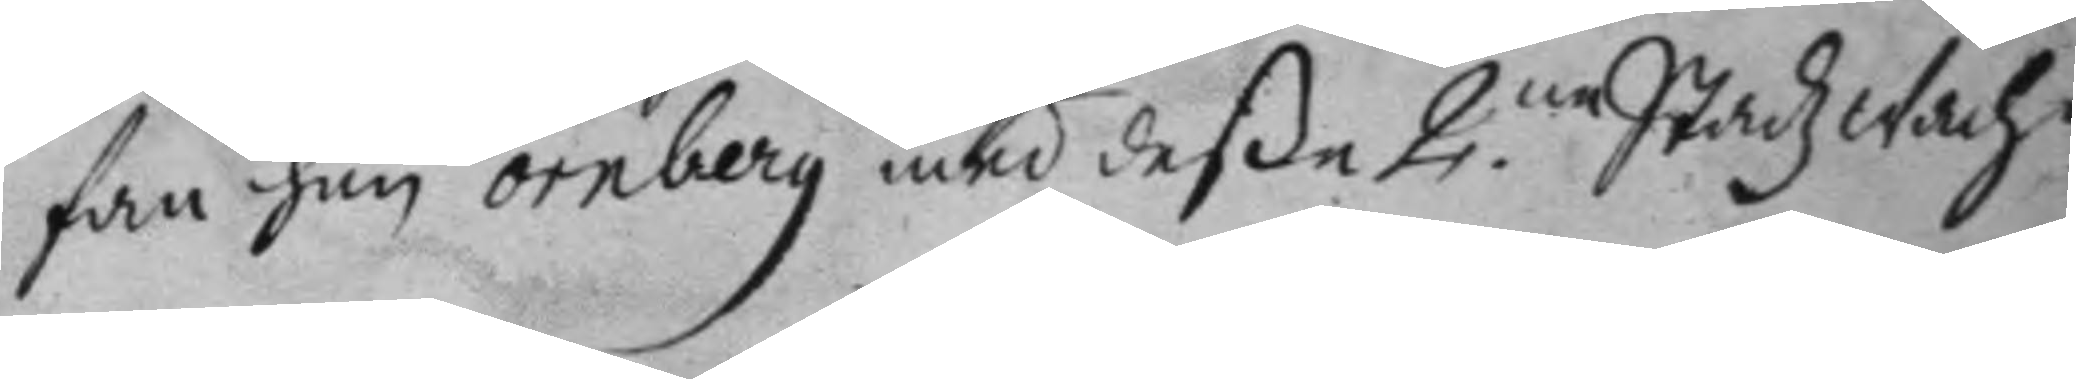fan han örnberg med deße 2.ne StadzWach¬
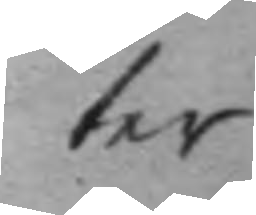ter
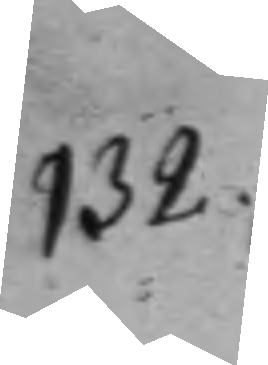132.
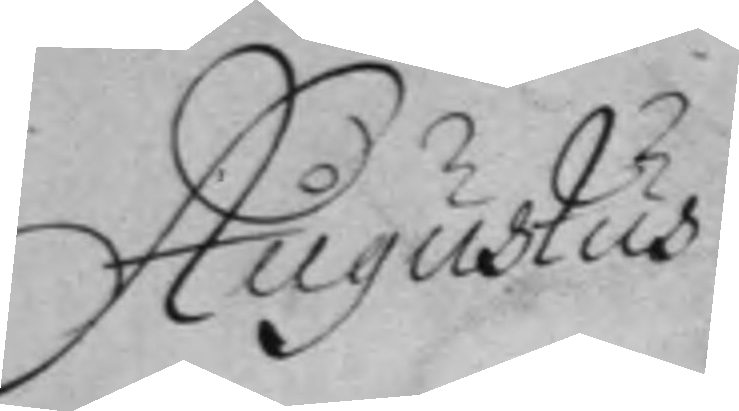Augustus
